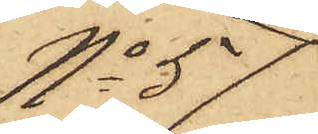No 57
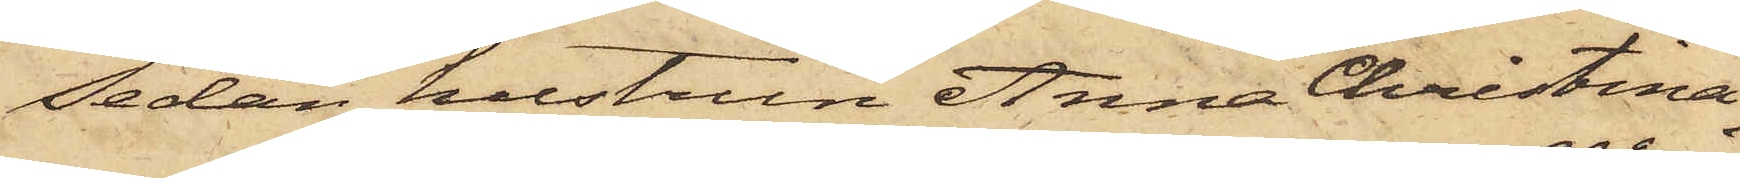Sedan hustrun Anna Christina
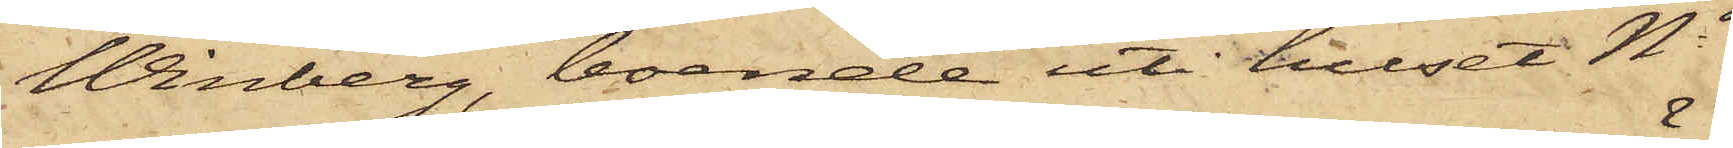Winberg, boende uti huset No
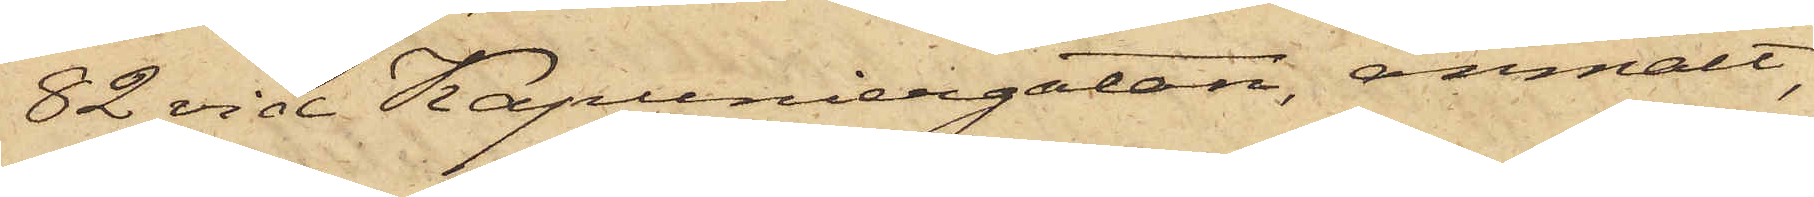82 vid Kapuniergatan, anmält,
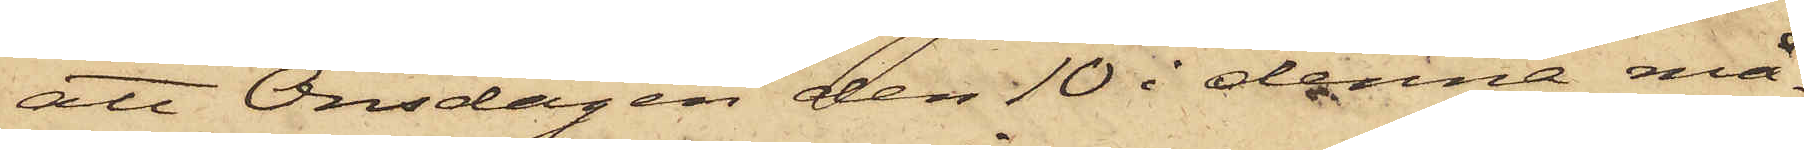att Onsdagen den 10 i denna må¬
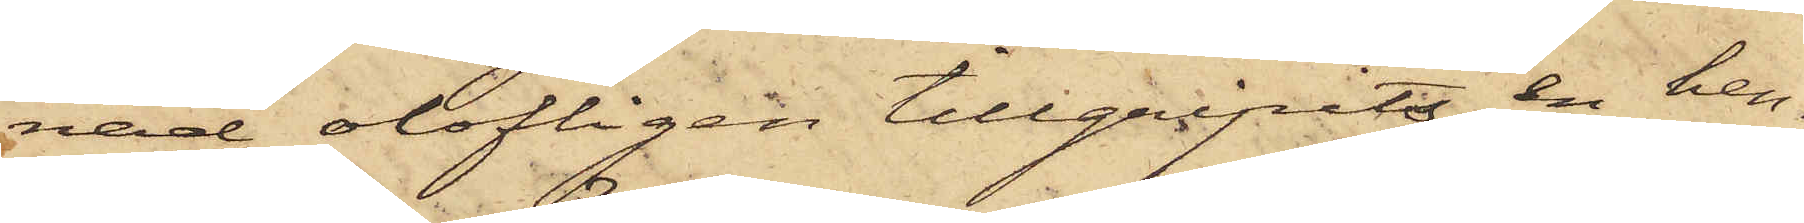nad olofligen tillgripits en hen¬
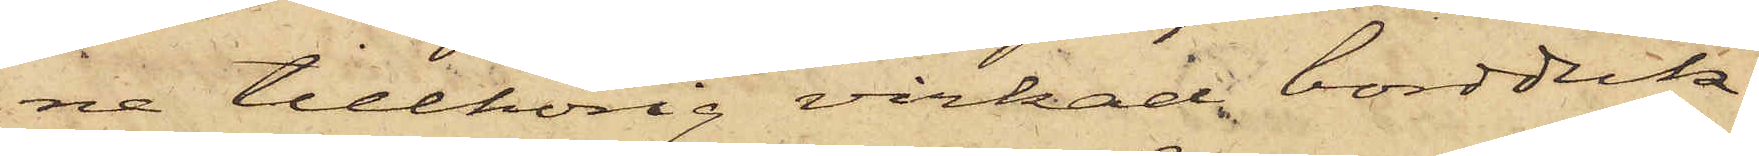ne tillhörig virkad bordduk,
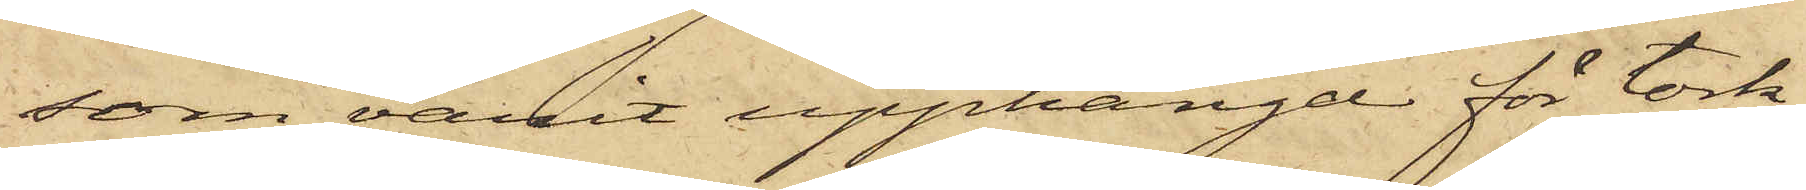som varit upphängd för tork¬
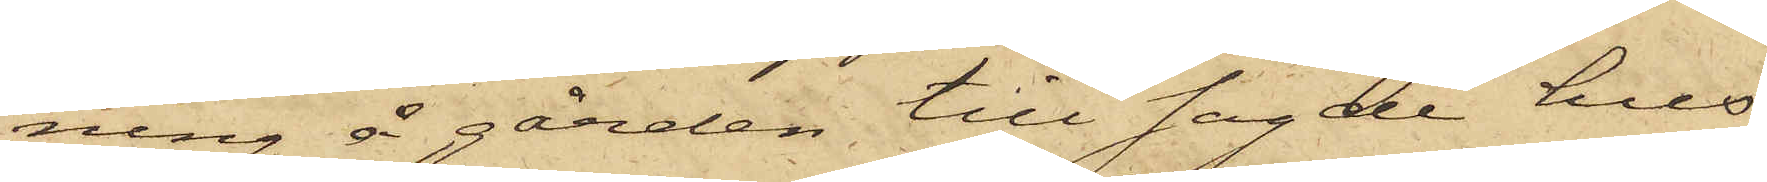ning å gården till sagde hus,
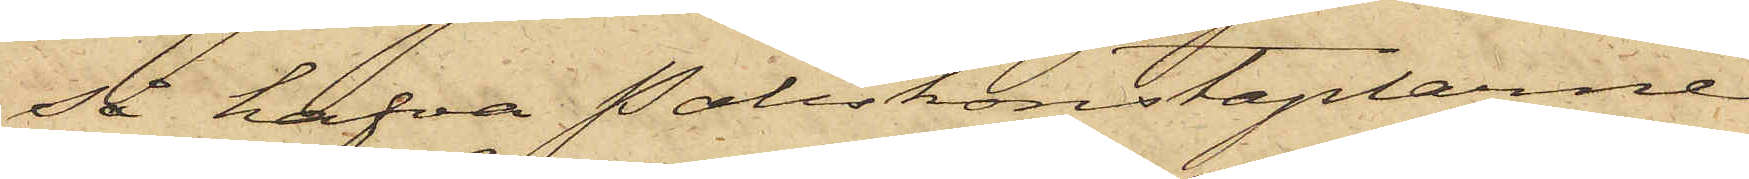så hafva Poliskonstaplarne
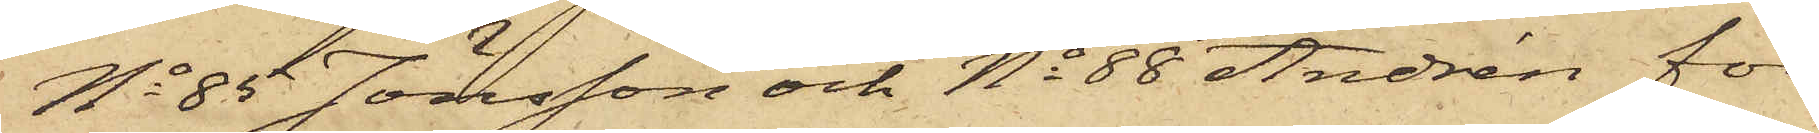No 85 Jönsson och No 88 Andrén för
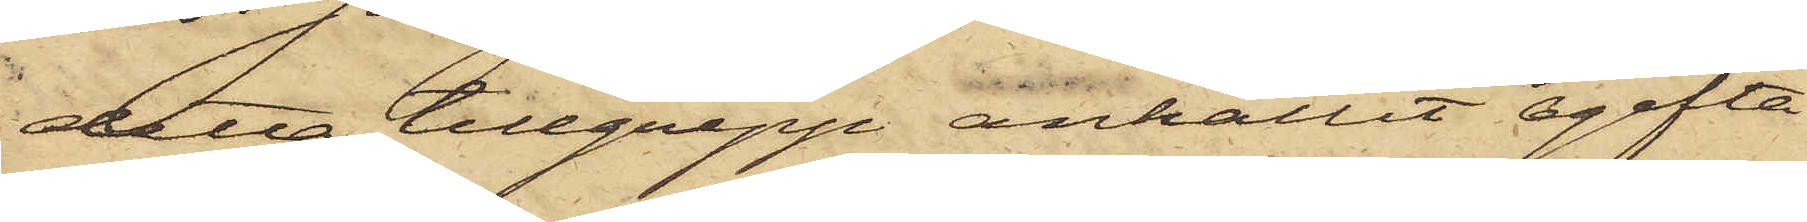detta tillgrepp anhållit ogifta
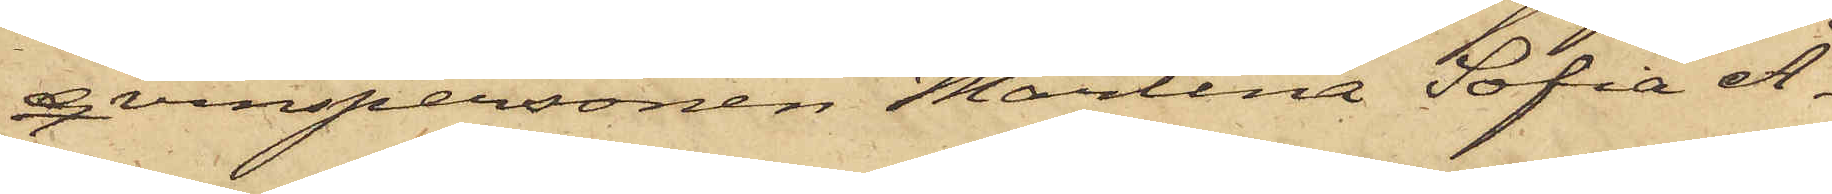qvinspersonen Martina Sofia Å¬
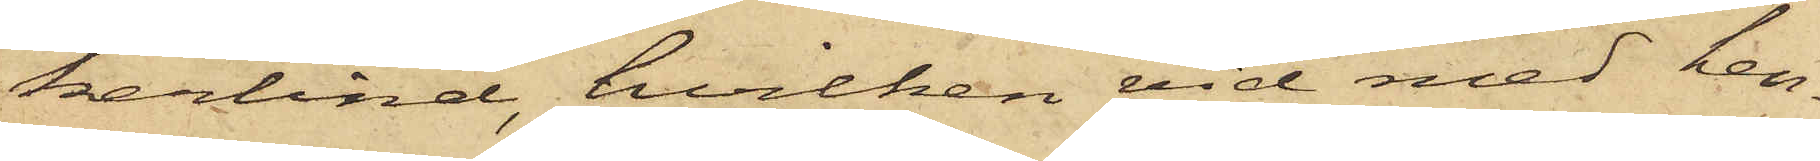kerlind, hvilken vid med hen¬
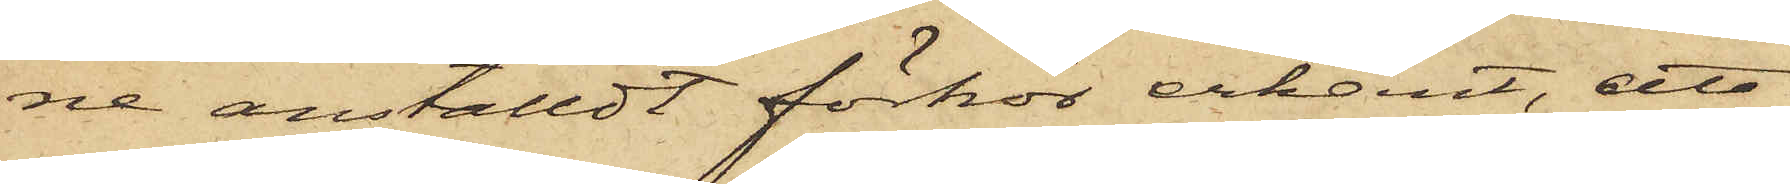ne anställdt förhör erkänt, att
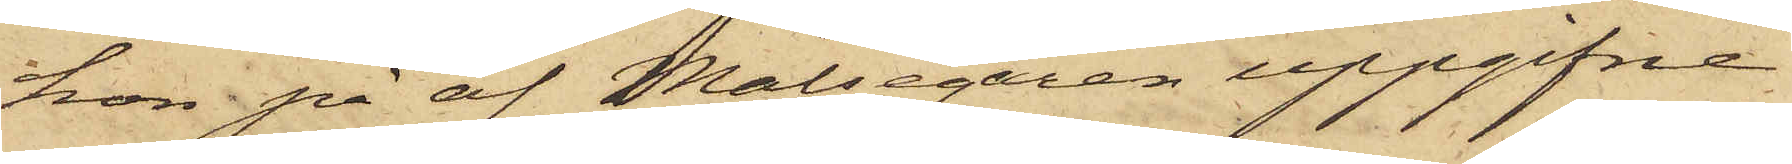hon på af Målsegaren uppgifne
